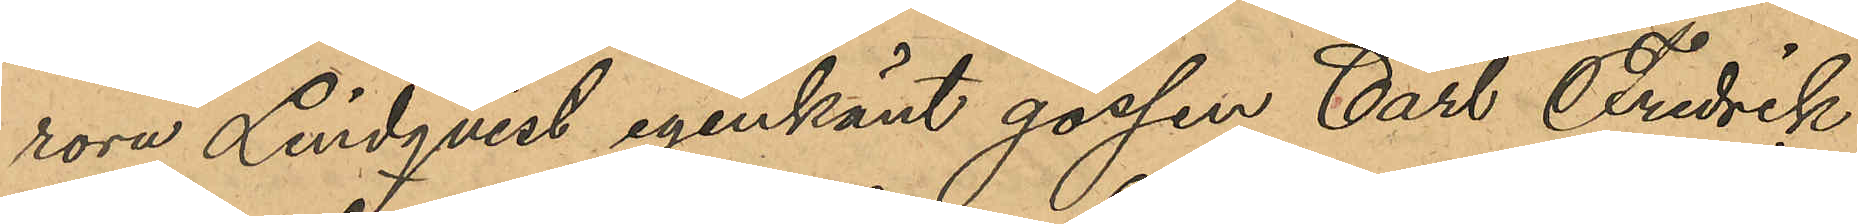rora Lindqvist igenkänt gossen Carl Fredrik
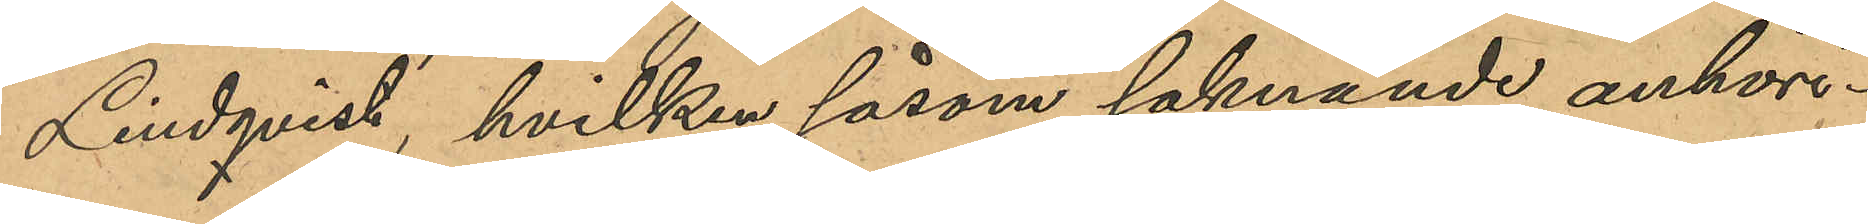Lindqvist, hvilken såsom saknande anhöri¬
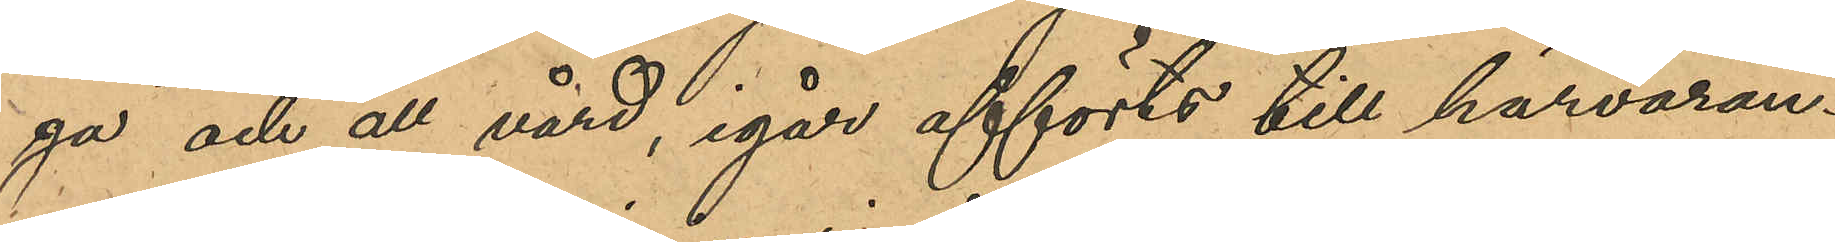ga och all vård, igår afförts till härvan¬
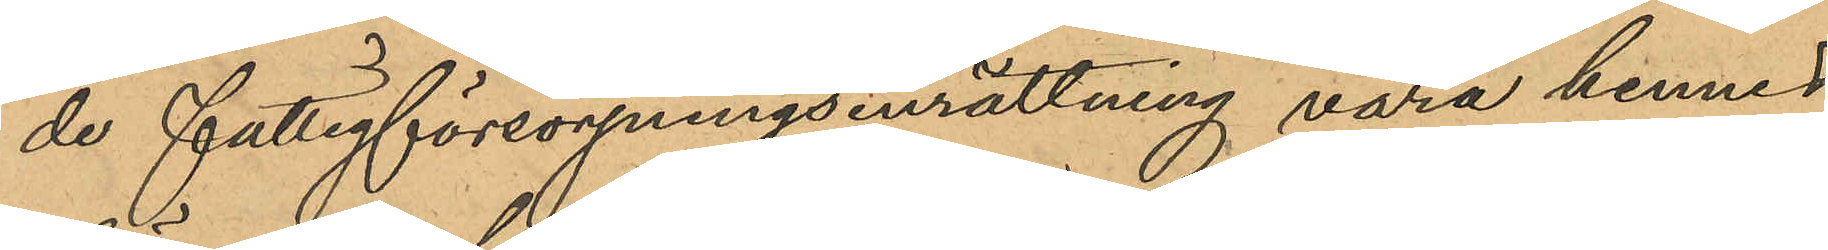de fattigförsörjningsinrättning vara hennes
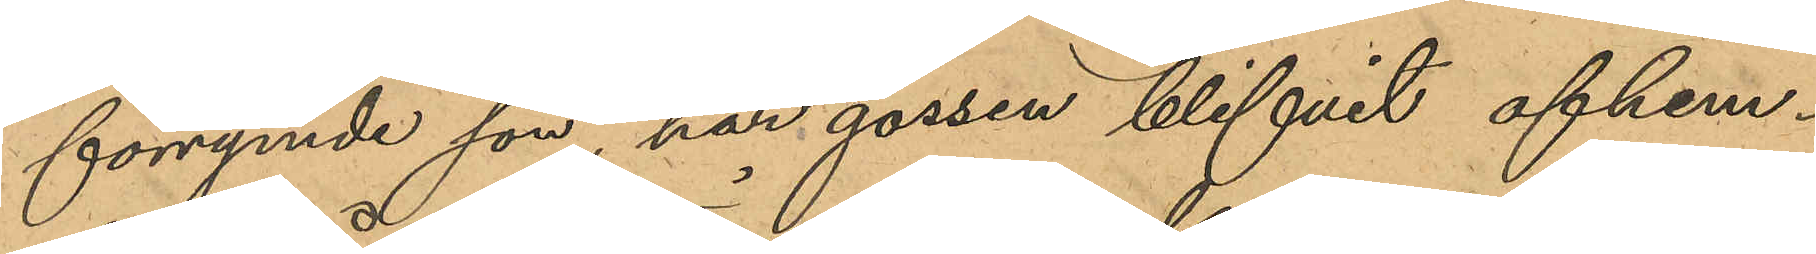förrymde son, har gossen blifvit afhem¬
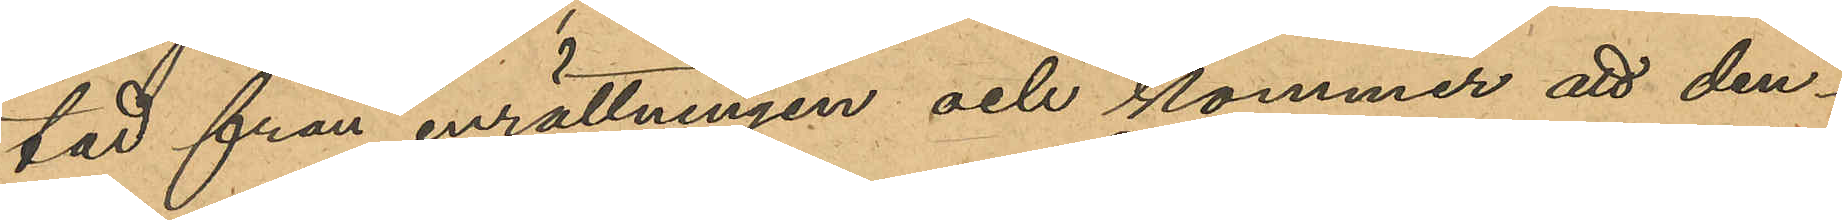tad från inrättningen och kommer att den¬
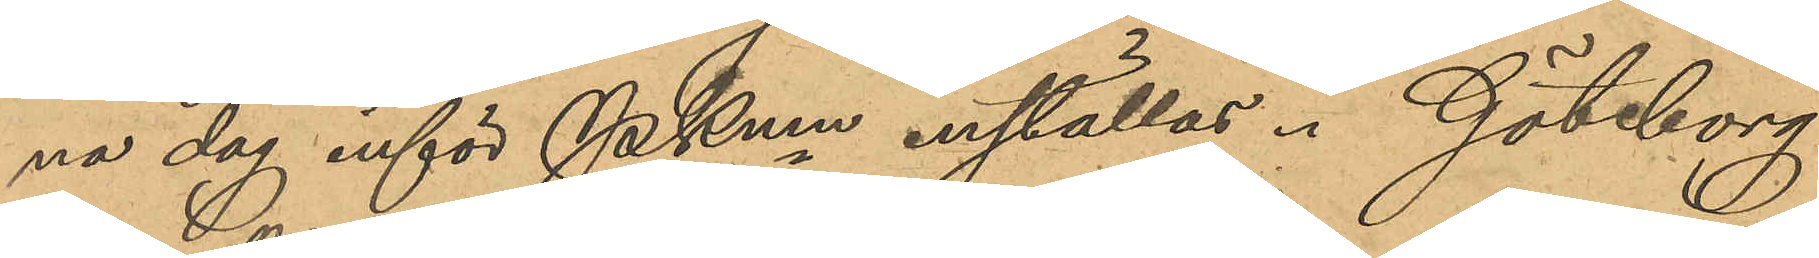na dag inför PKmn inställas. Göteborg
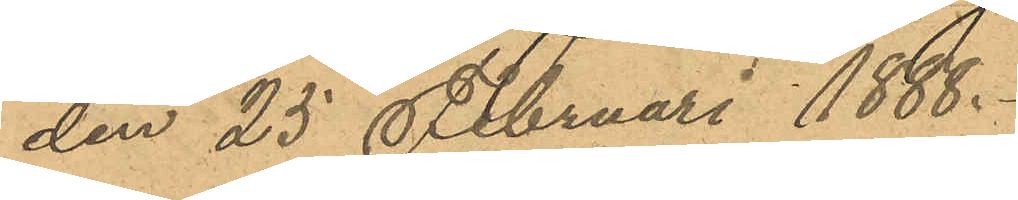den 25 Februari 1888.
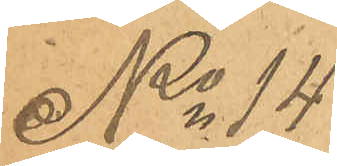No 14
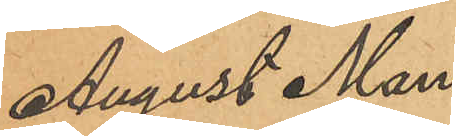August Man¬
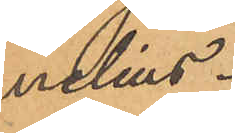nelius.
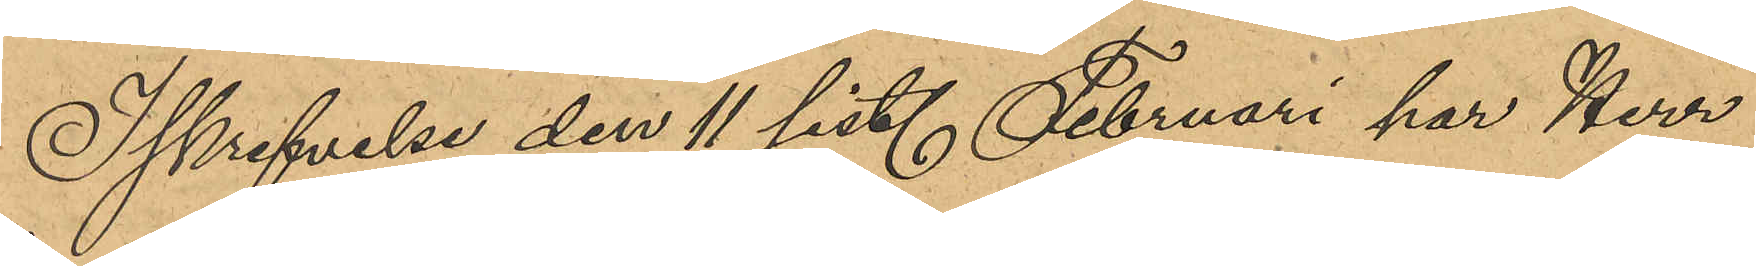I skrifvelse den 11 sist. Februari har Herr
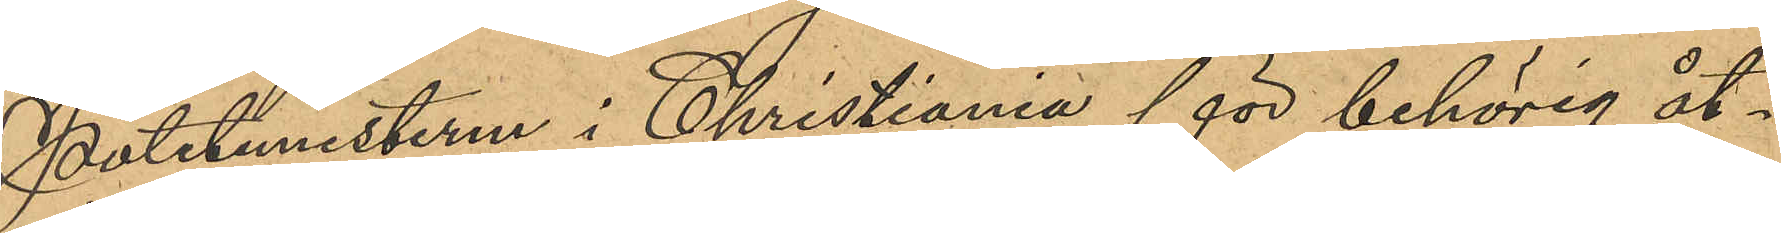Politimesteren i Christiania för behörig åt¬
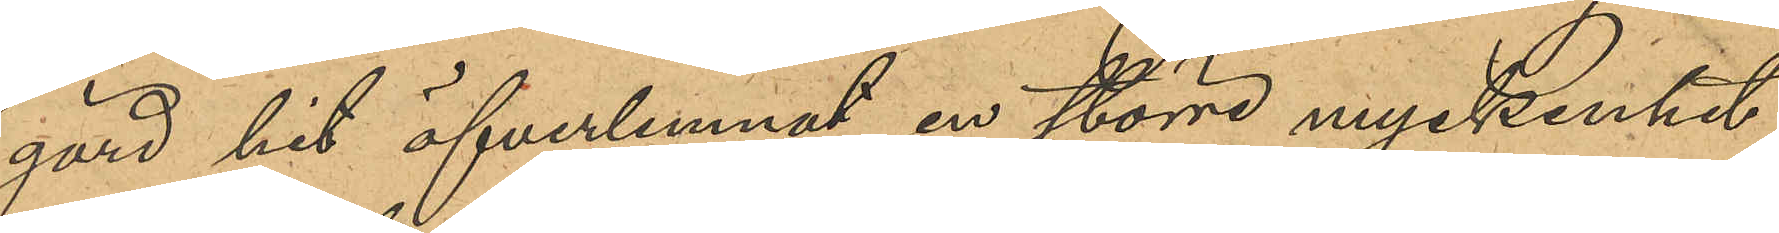gärd hit öfverlemnat en större myckenhet
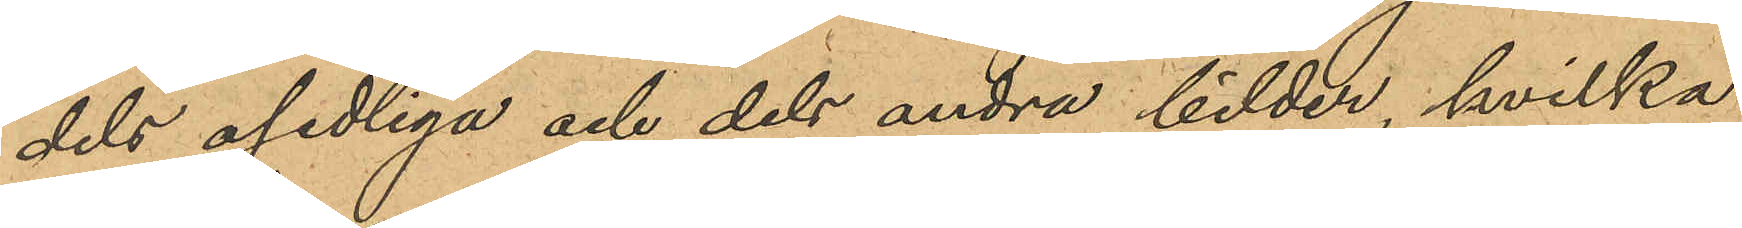dels osedliga och dels andra bilder, hvilka 
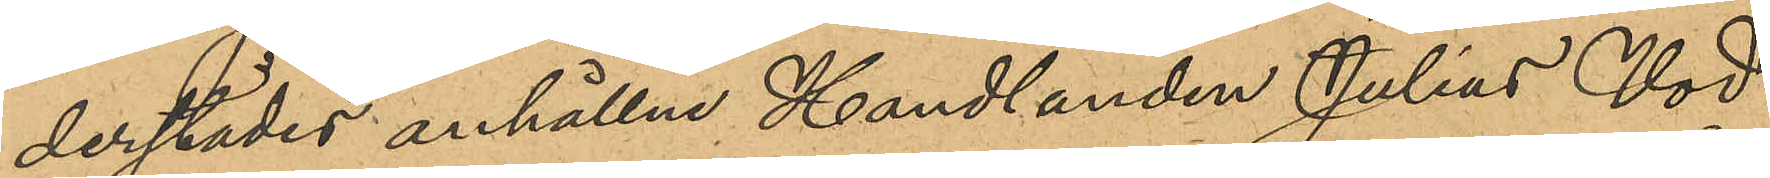derstädes anhållne Handlanden Julius Vod
